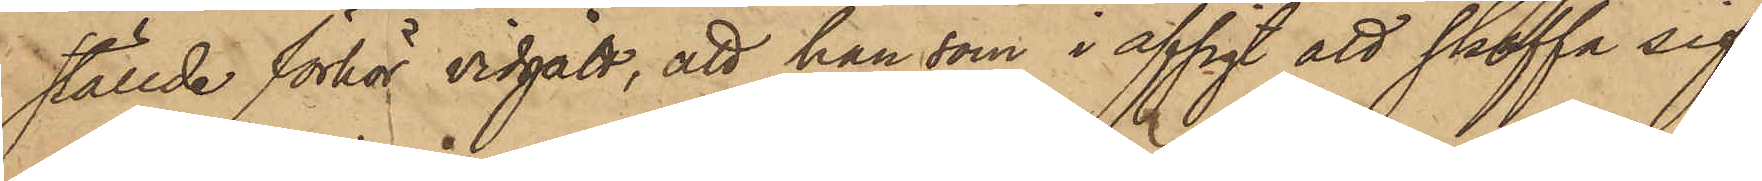ställde förhör vidgått, att han som i afsigt att skaffa sig
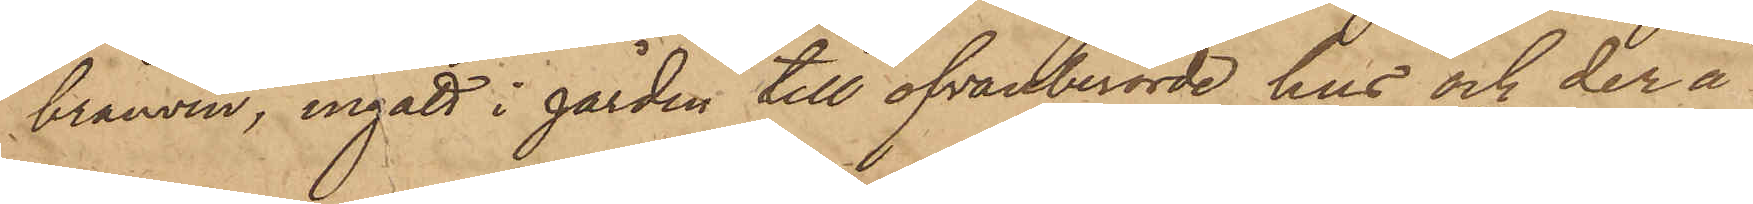bränvin, ingått i gården till ofvanberörde hus och der å
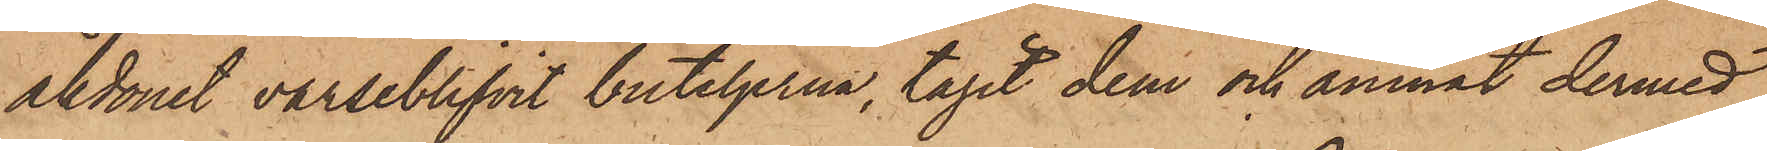åkdonet varseblifvit buteljerna, tagit dem och ämnat dermed
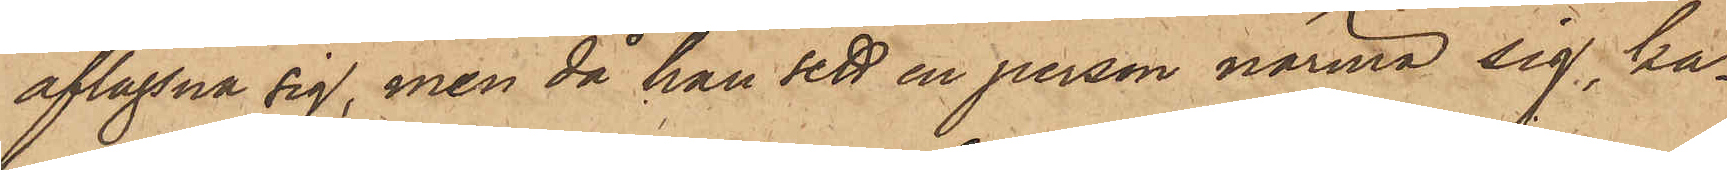aflägsna sig, men då han sett en person närma sig, ka¬
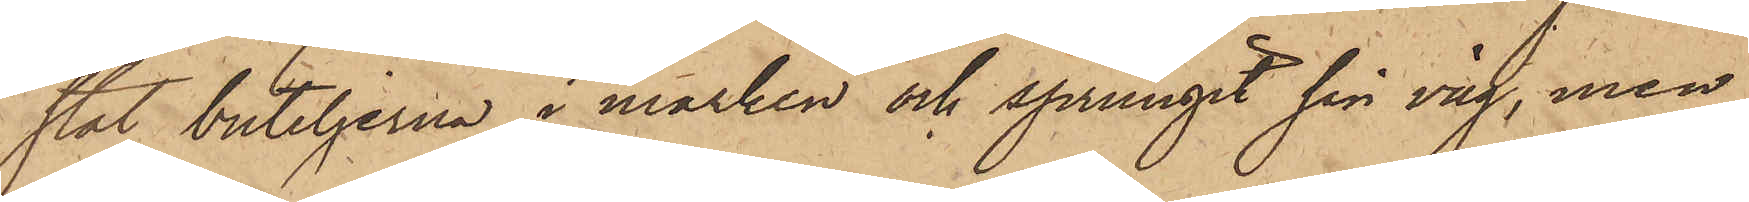stat buteljerna i marken och sprungit sin väg, men
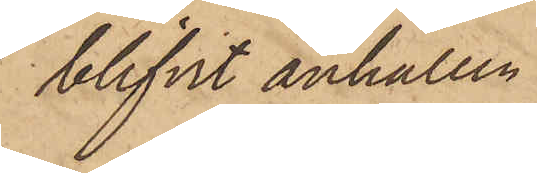blifvit anhållen.
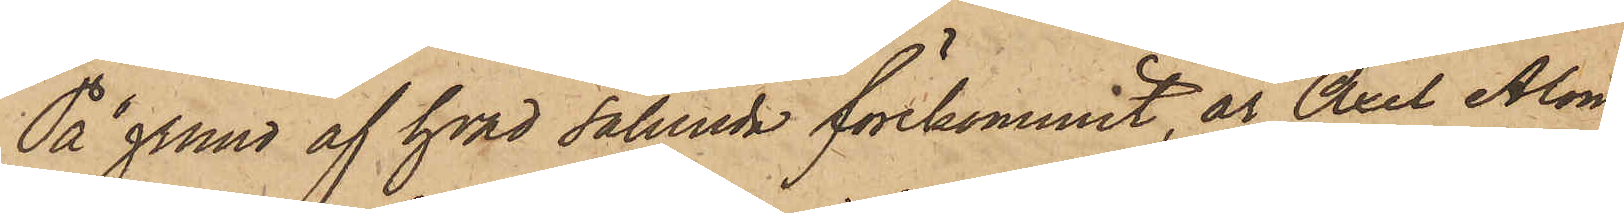På grund af hvad sålunda förekommit, är Axel Alon¬
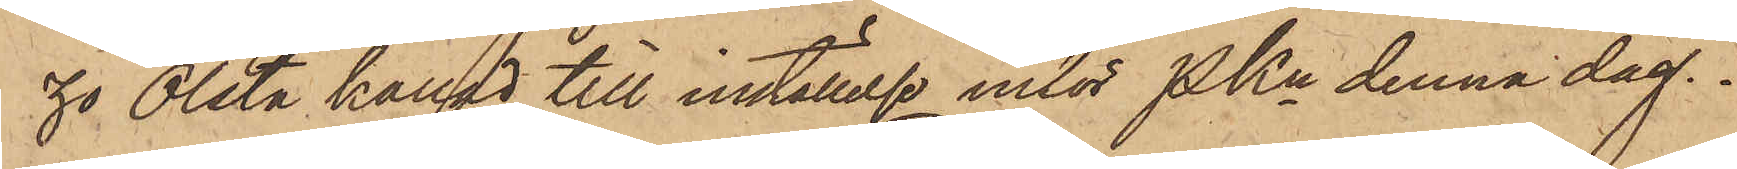zo Olsta kallad till inställelse inför PKn denna dag.
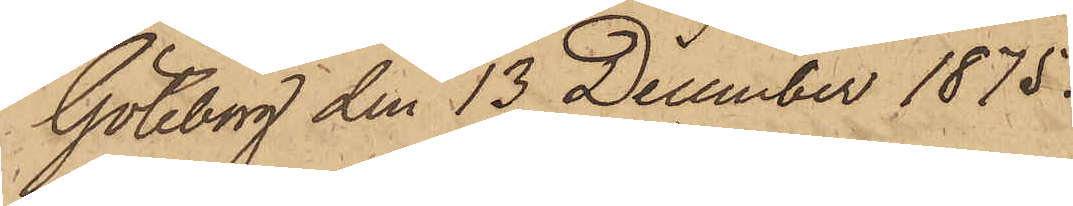Göteborg den 13 December 1875.
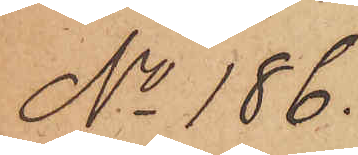No 186.
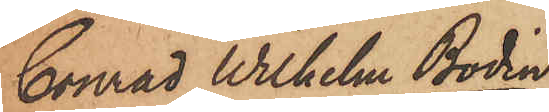Conrad Wilhelm Bodin
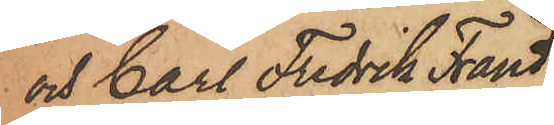och Carl Fredrik Fränd¬
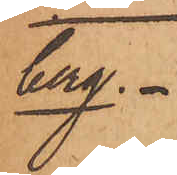berg.
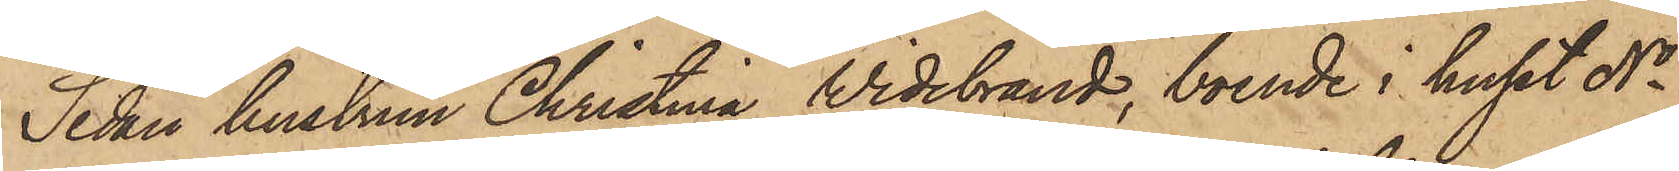Sedan hustrun Christina Widebrand, boende i huset No
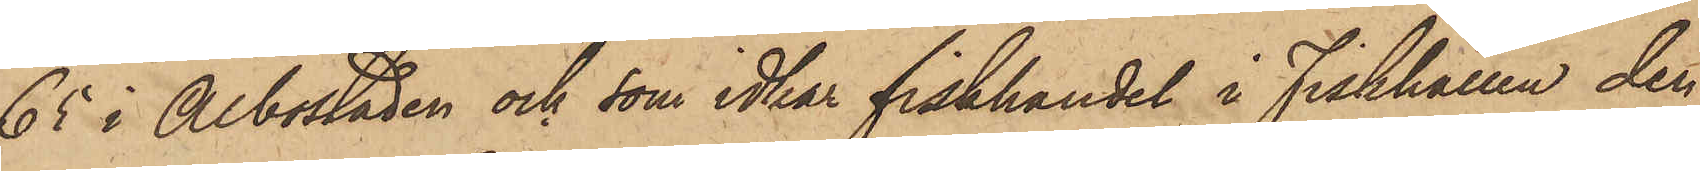65 i Albostaden och som idkar fiskhandel i Fiskhallen den
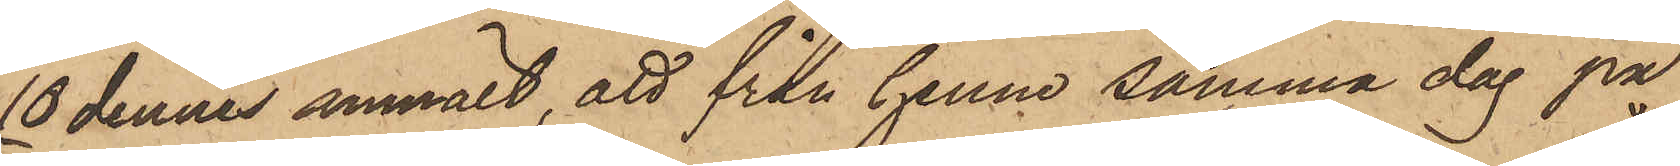10 dennes anmält, att från henne samma dag på
